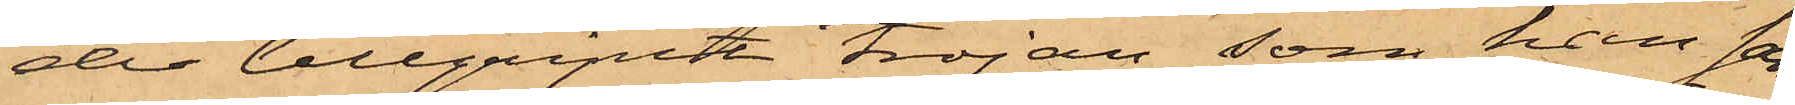der tillgripit tröjan, som han sam¬
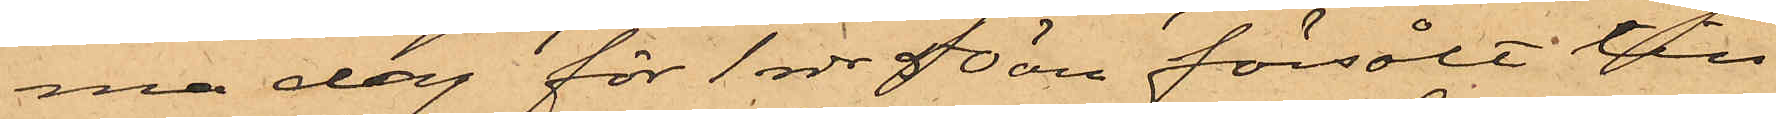ma dag för 1 rdr 50 öre försålt till
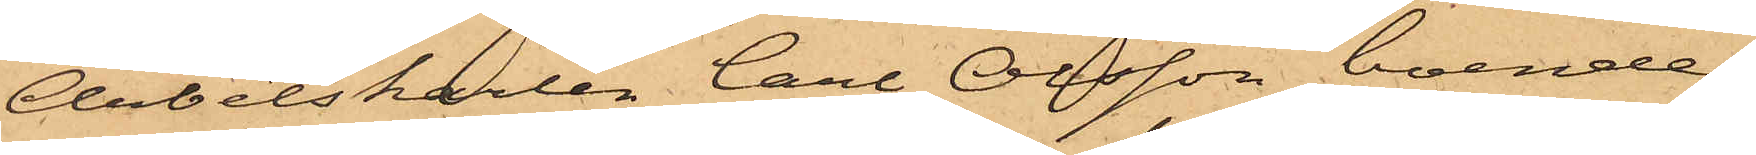Arbetskarlen Carl Olsson, boende i
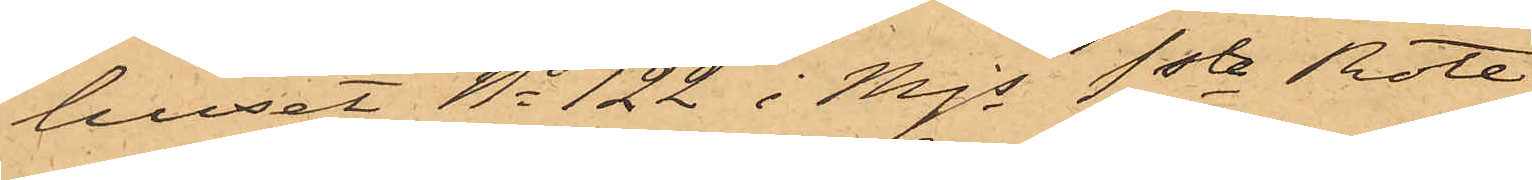huset No 122 i Mjs 1sta Rote.
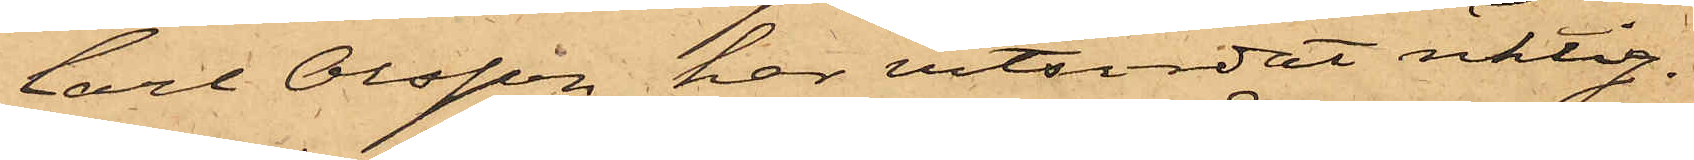Carl Olsson, har vitsordat riktig¬
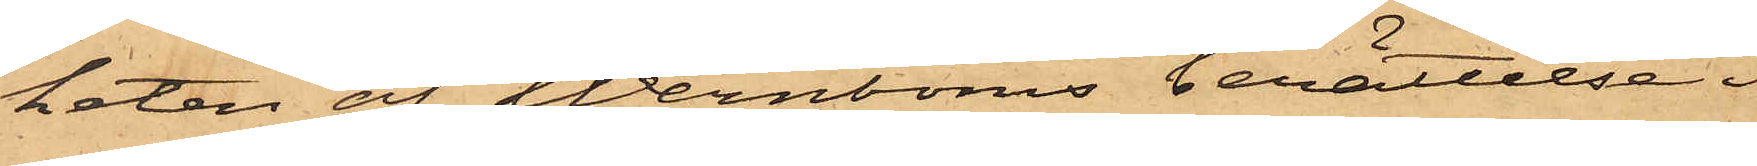heten af Wernboms berättelse i
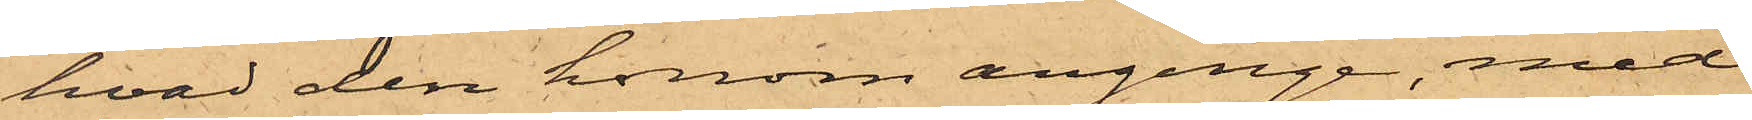hvad den honom anginge, med
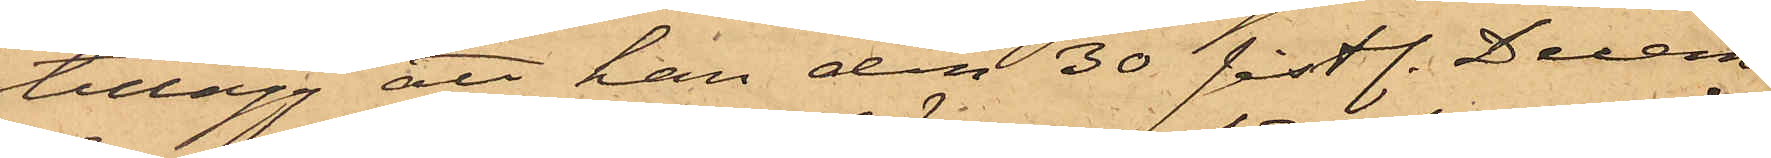tillägg att han den 30 sistl. Decem¬
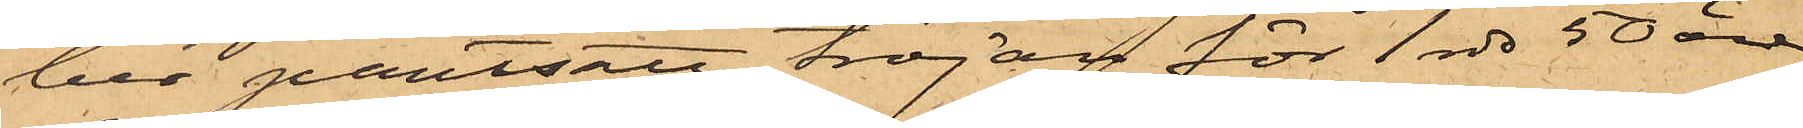ber pantsatt tröjan för 1 rdr 50 öre
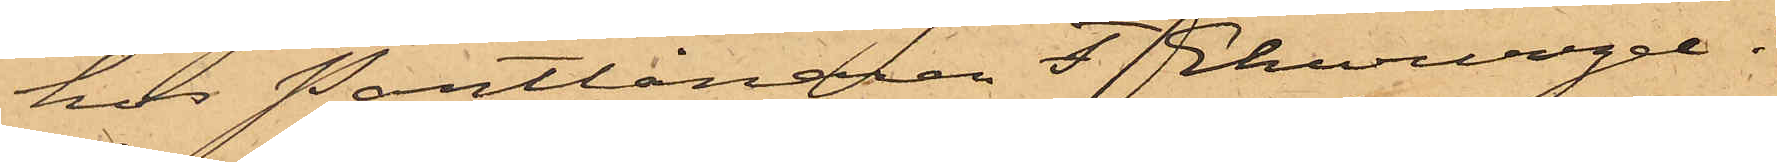hos Pantlånaren F. Ekwurzel i
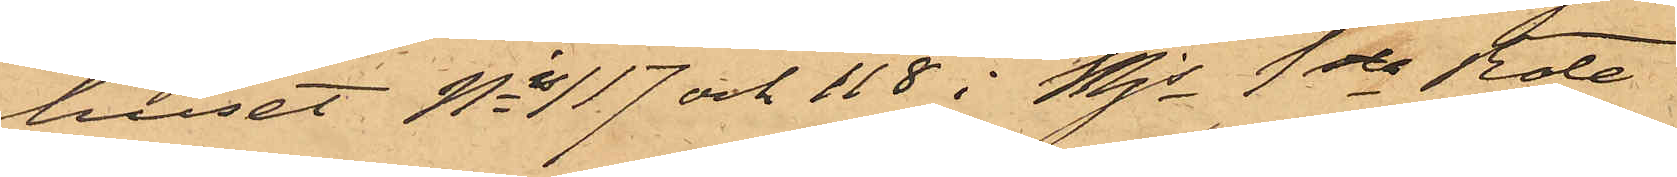huset Nis 117 och 118 i Mjs 1sta Rote.
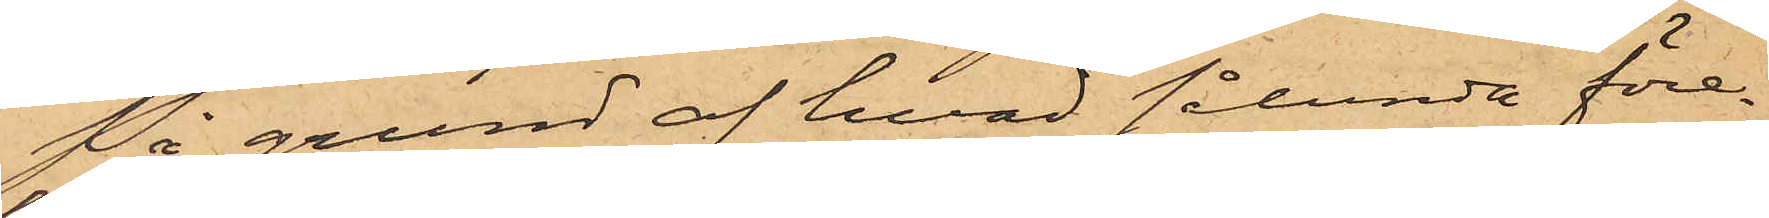På grund af hvad sålunda före¬
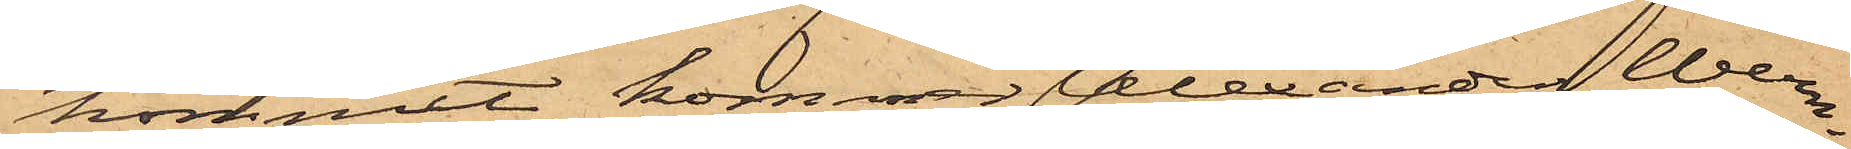kommit, kommer Alexander Wern¬
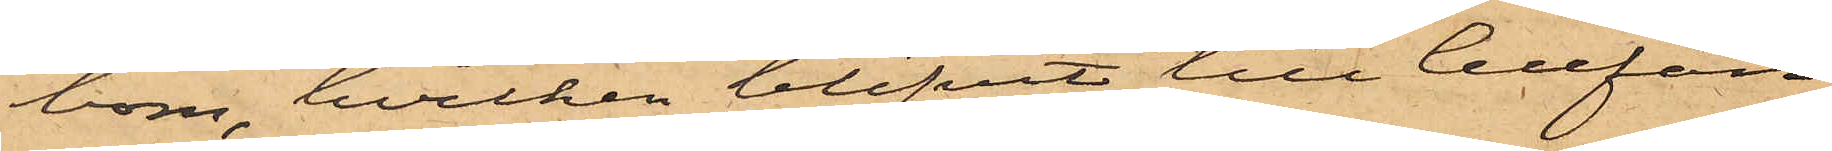bom, hvilken blifvit till Cellfän¬
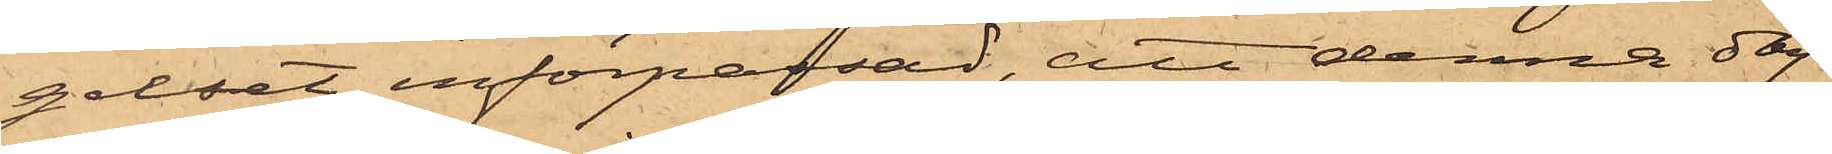gelset införpassad, att denna dag
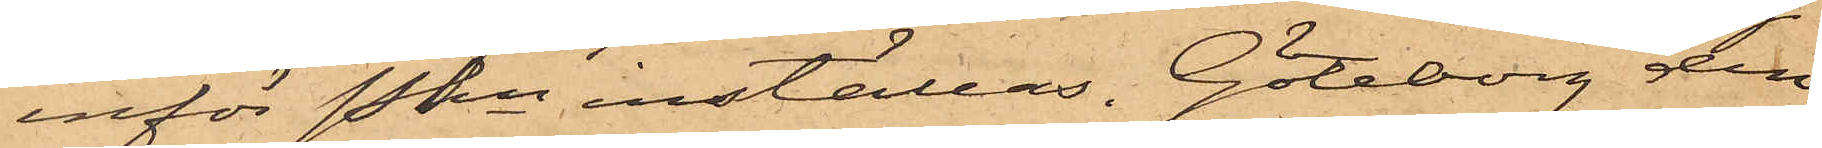inför Pkn inställas. Göteborg den
